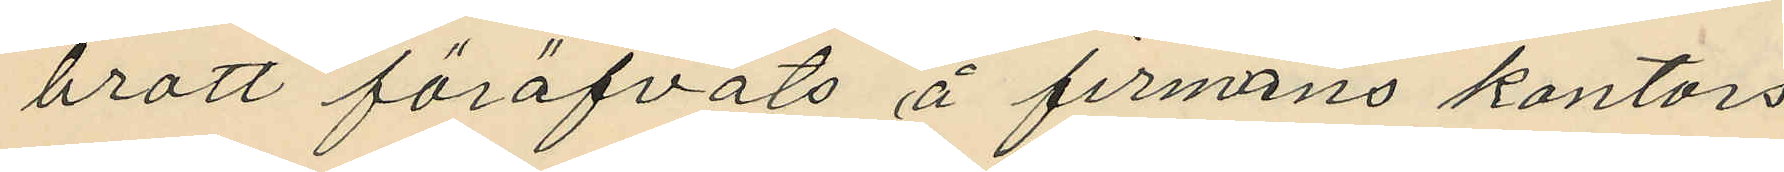brott föröfvats å firmans kontors¬
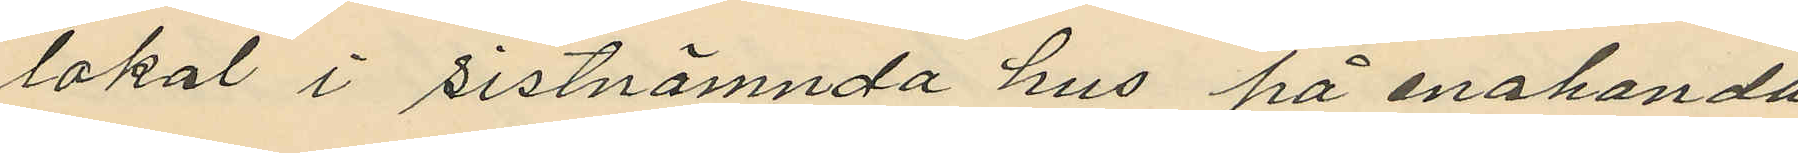lokal i sistnämnda hus på enahanda
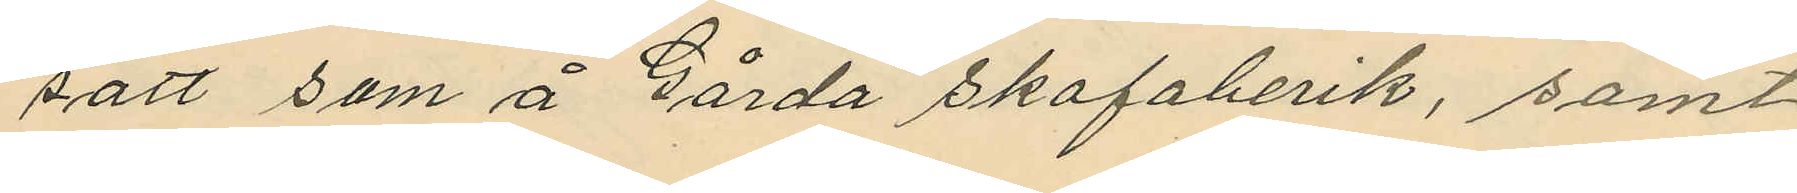sätt som å Gårda skofaberik, samt
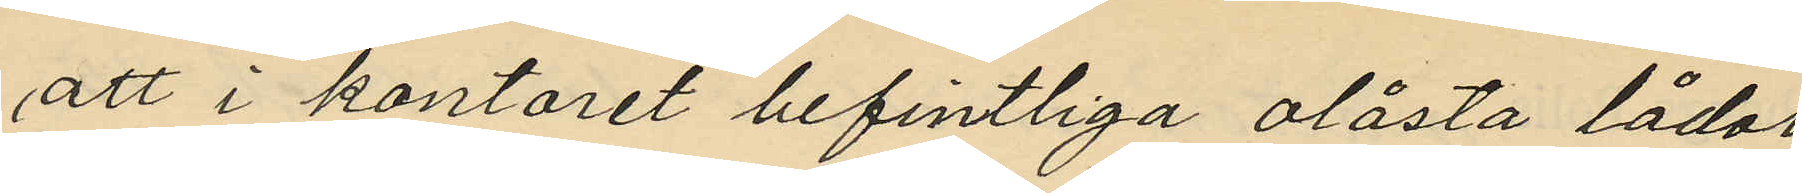att i kontoret befintliga olåsta lådor
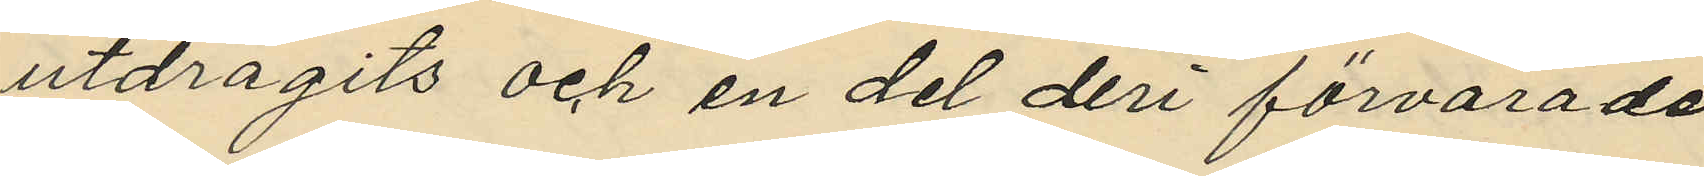utdragits och en del deri förvarade
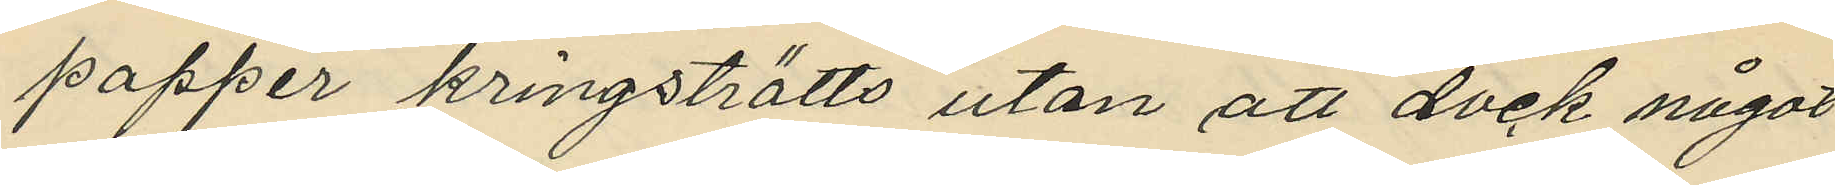papper kringströtts utan att dock något
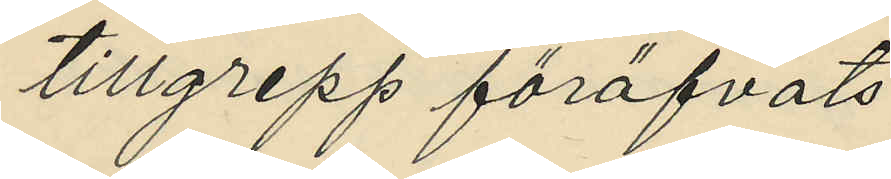tillgrepp föröfvats.
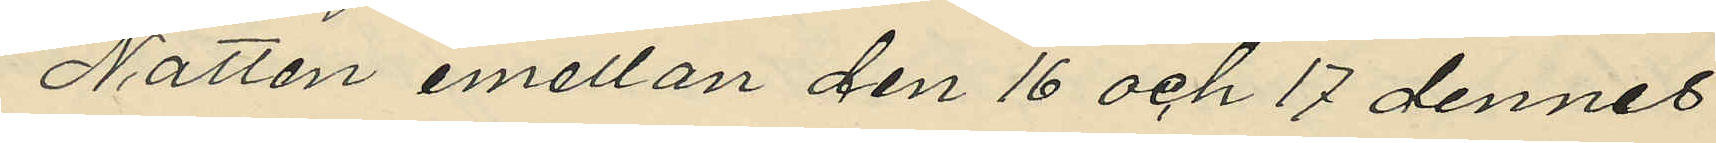Natten emellan den 16 och 17 dennes
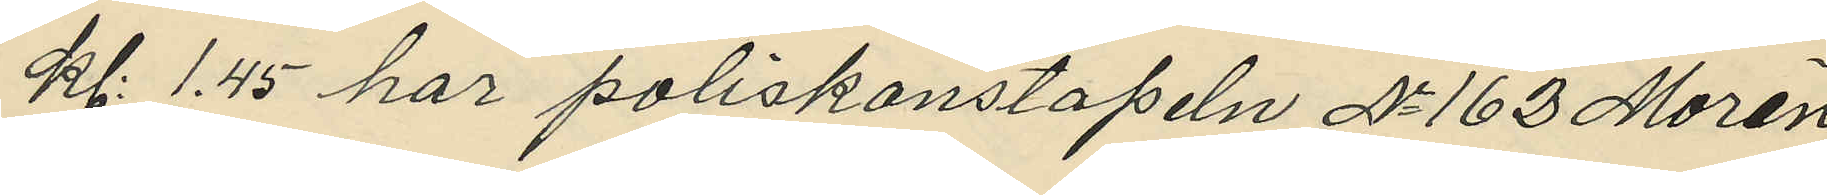kl. 1.45 har poliskonstapeln No 162 Morén
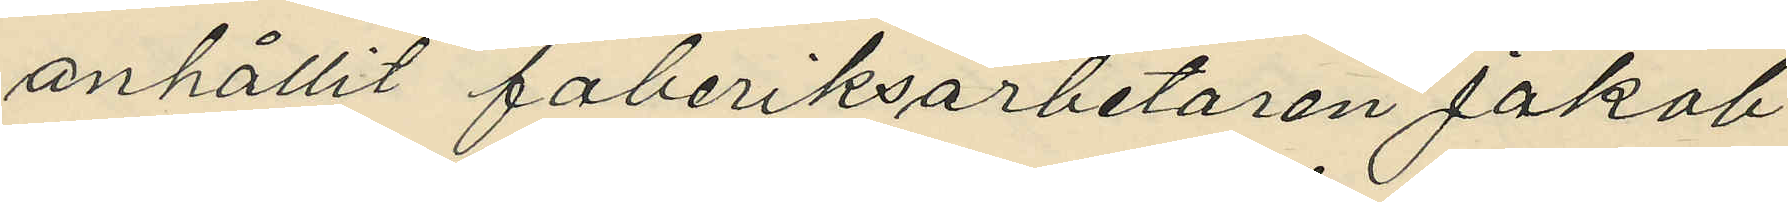anhållit faberiksarbetaren Jakob 
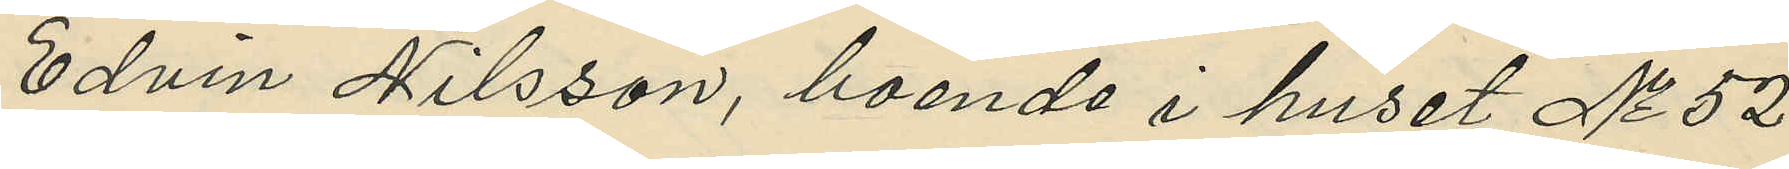Edvin Nilsson, boende i huset No 52
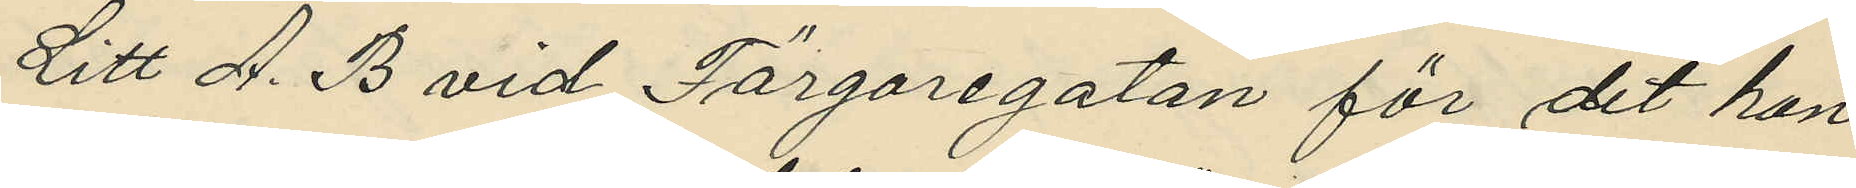Litt A. B vid Färgaregatan för det han
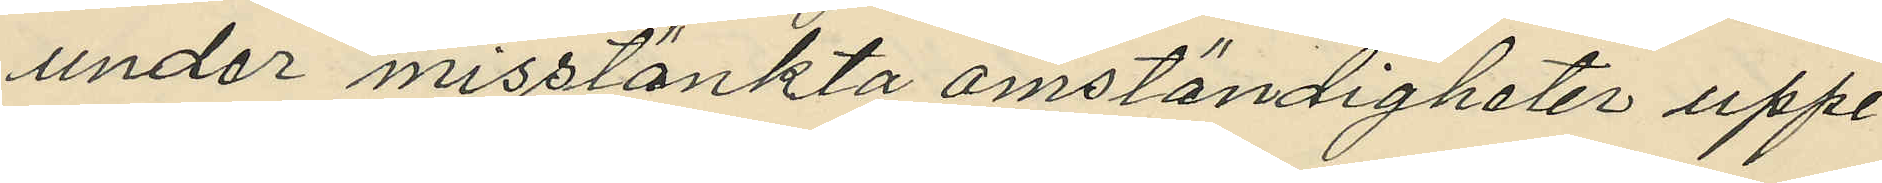under misstänkta omständigheter uppe¬
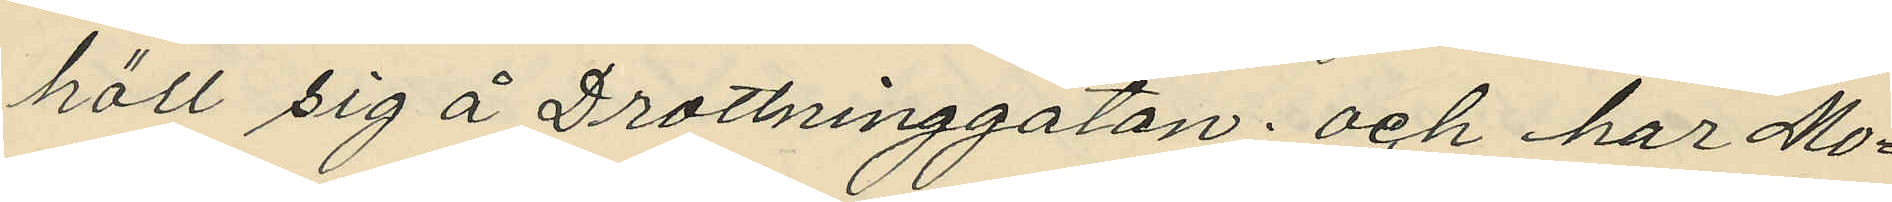höll sig å Drottninggatan; och har Mo¬
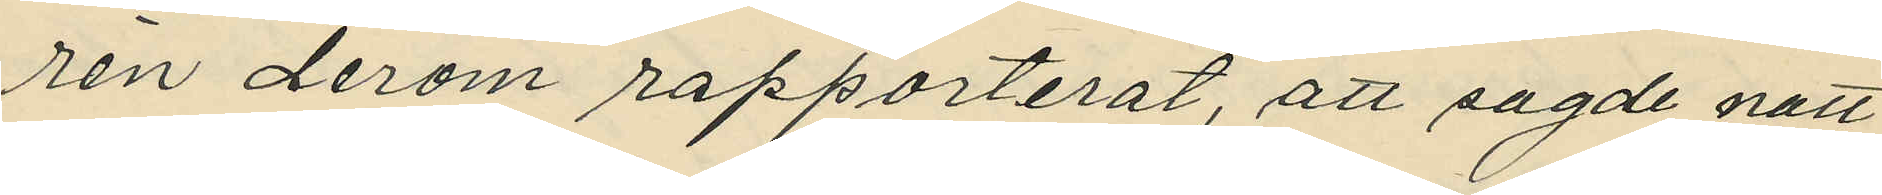rén derom rapporterat, att sagde natt
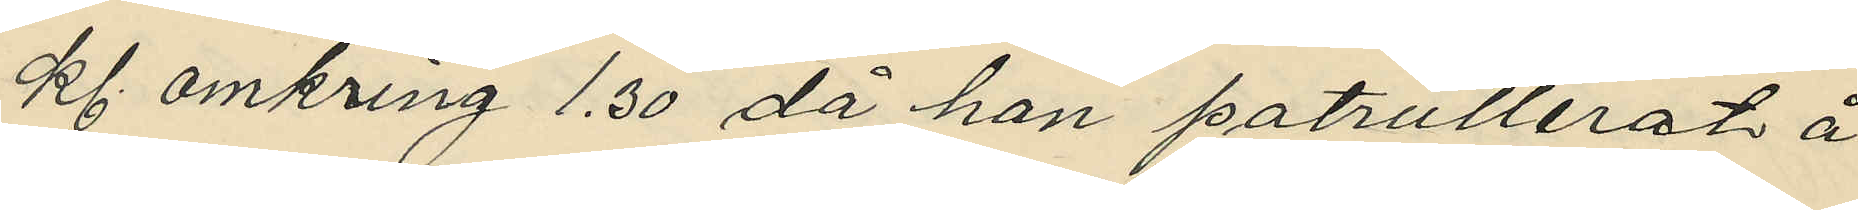kl. omkring 1.30 då han patrullerat å
